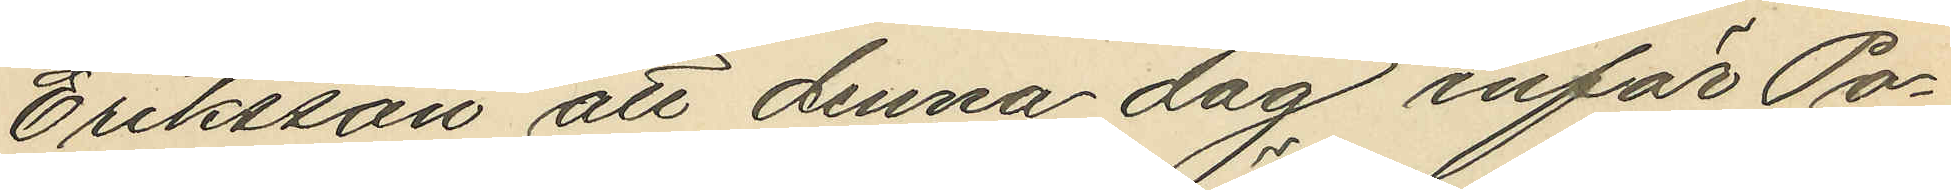Eriksson att denna dag inför Po¬
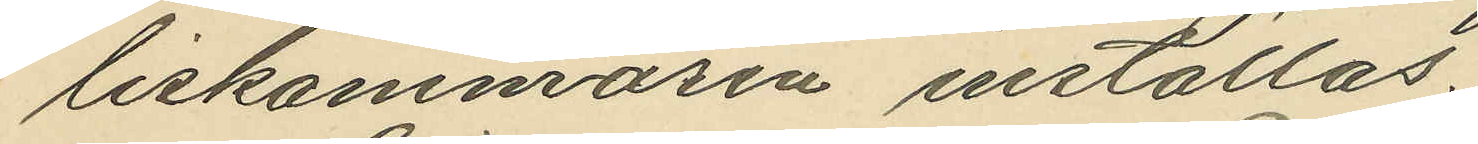liskammaren inställas.
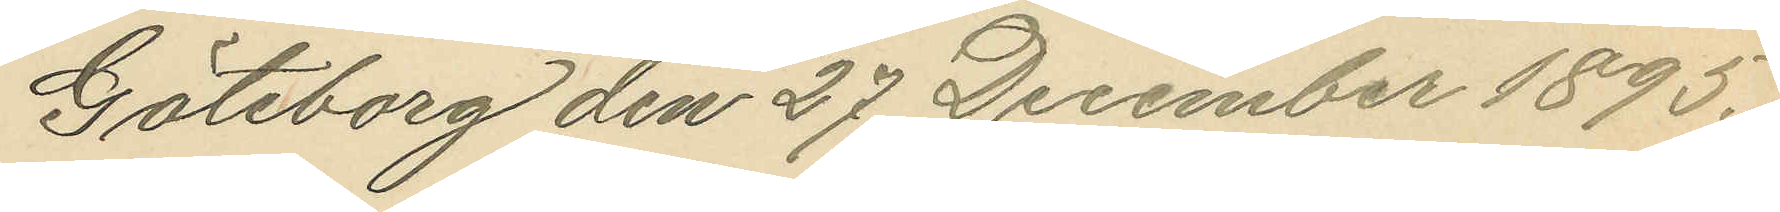Göteborg den 27 December 1895.
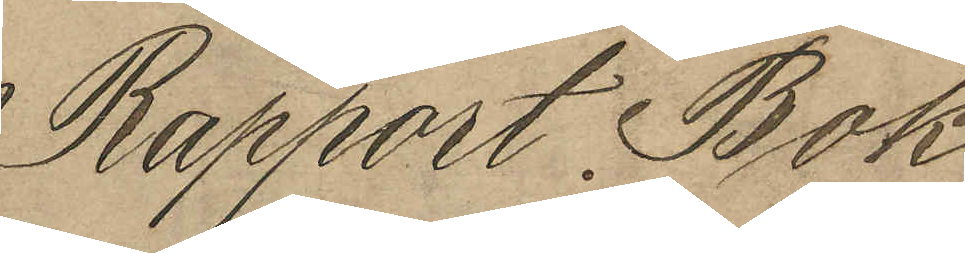Rapport Bok
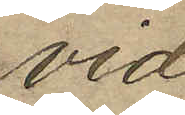vid
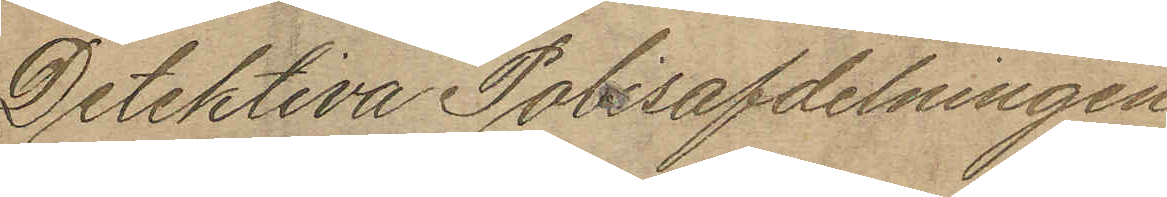Detektiva Polisafdelningen
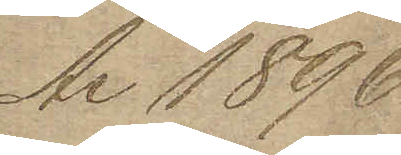År 1896
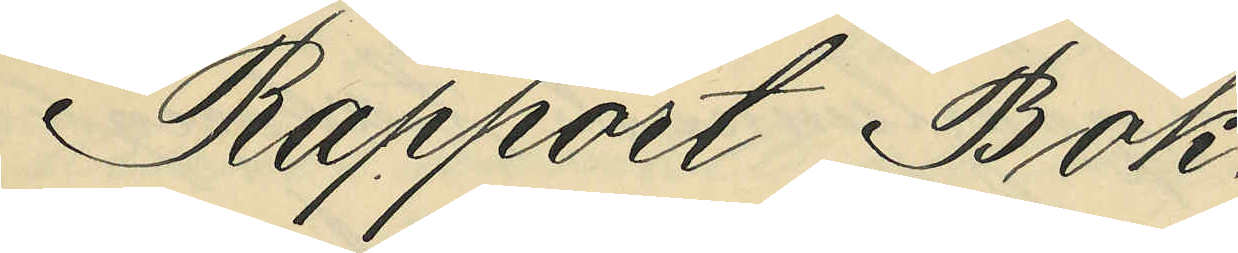Rapport Bok
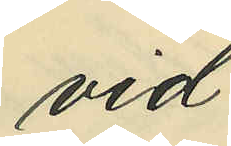vid
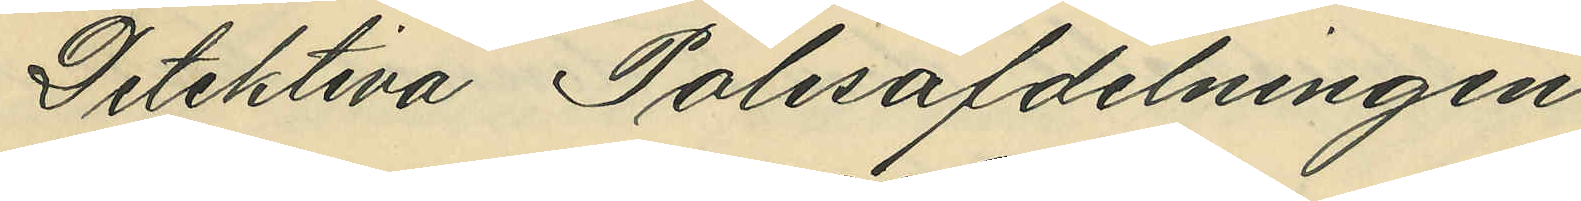Detektiva Polisavdelningen
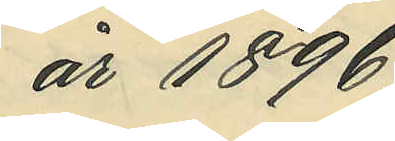år 1896.
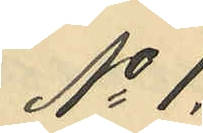No 1.
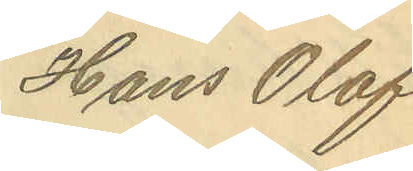Hans Olof
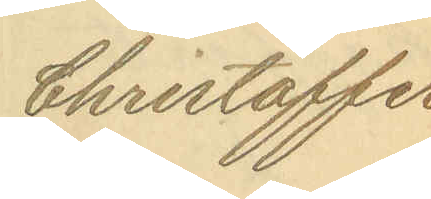Christoffer¬
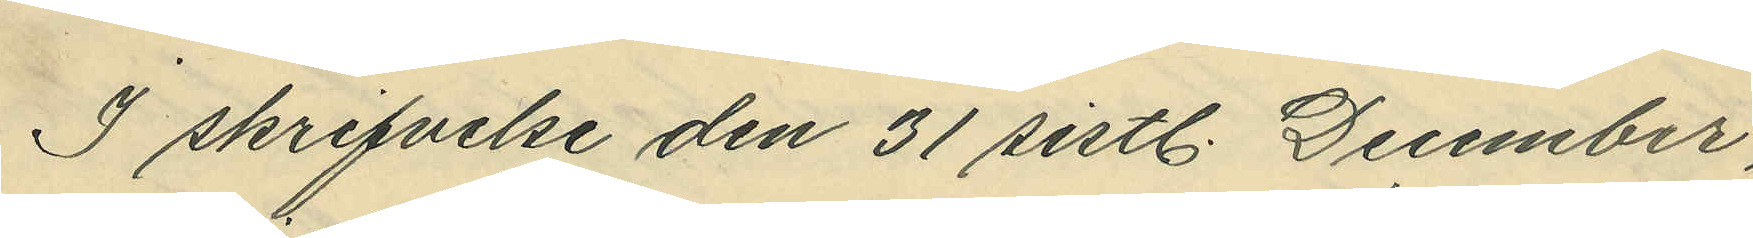I skrifvelse den 31 sistl. December,
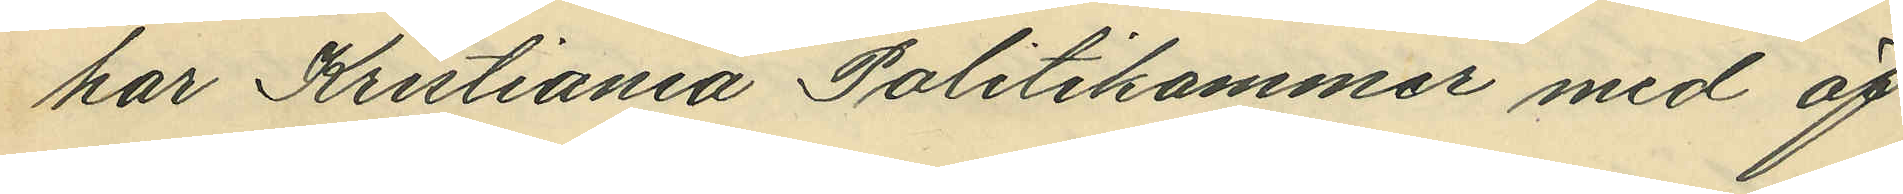har Kristiania Politikammer med öf¬
